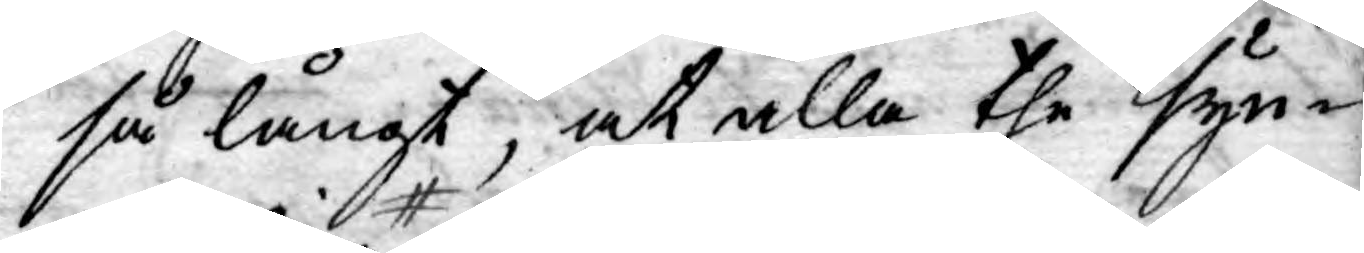så långt, at alla the syn¬
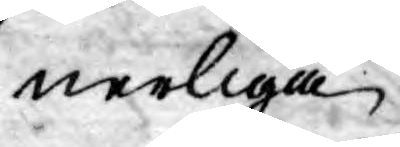nerliga
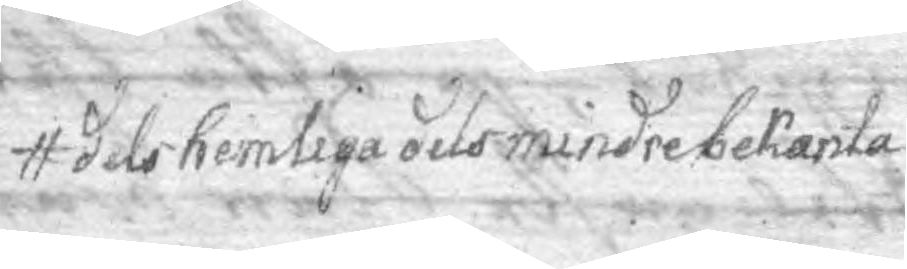dels hemliga dels mindre bekanta
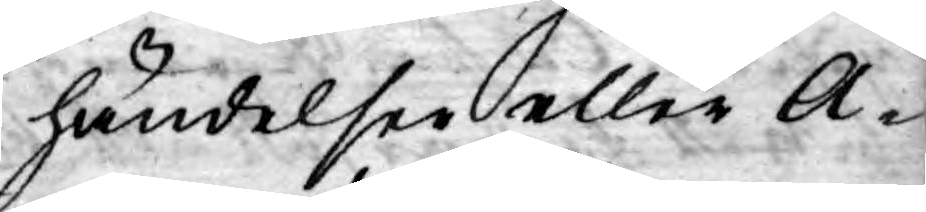händelser eller A¬
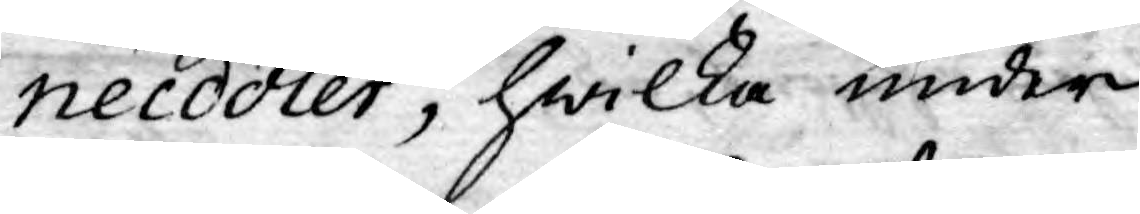necdoter, hwilka under
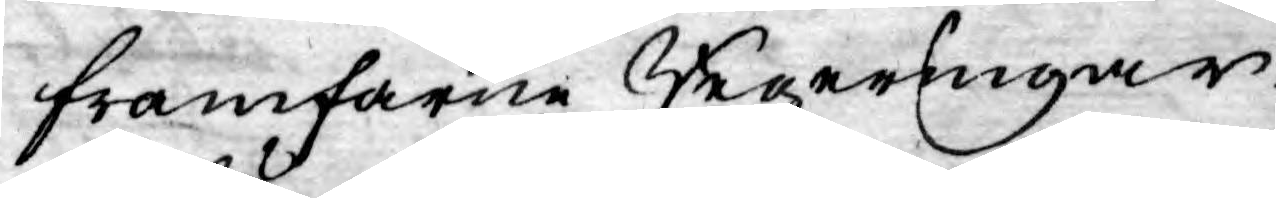framfarne Regeringar
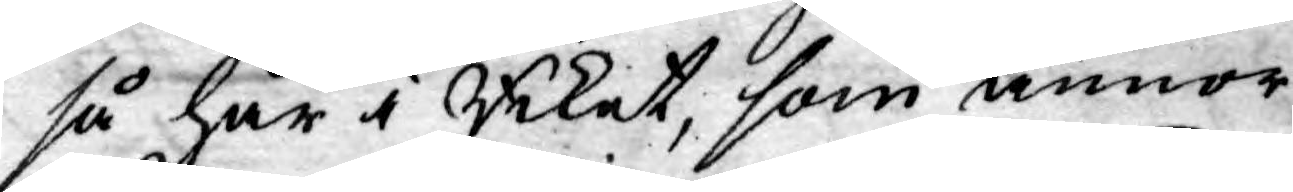så här i Riket, som annor¬
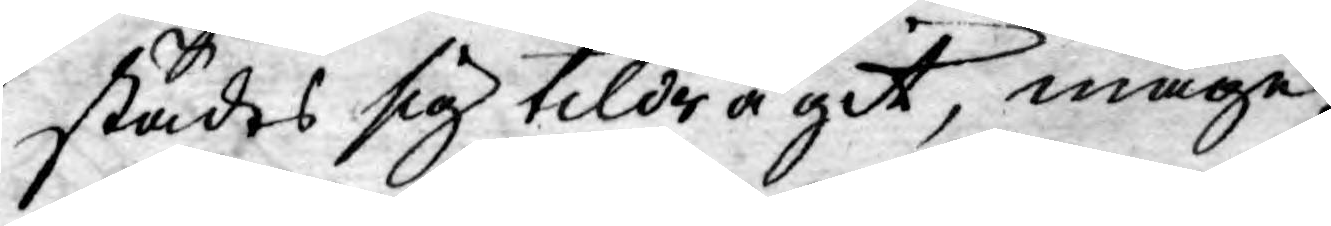städes sig tildragit, måge
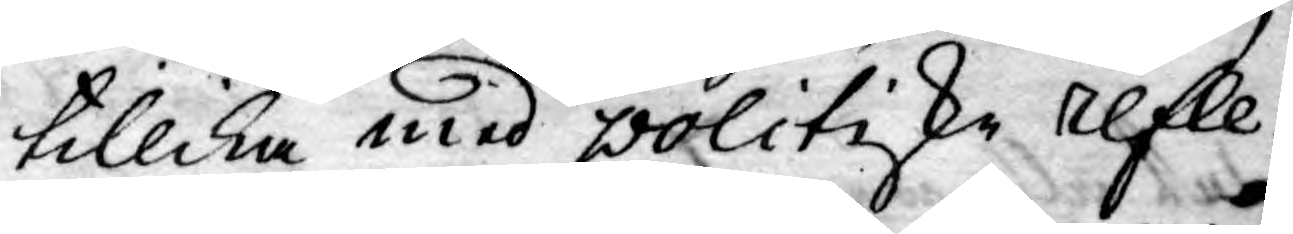tillika med politiske refle¬
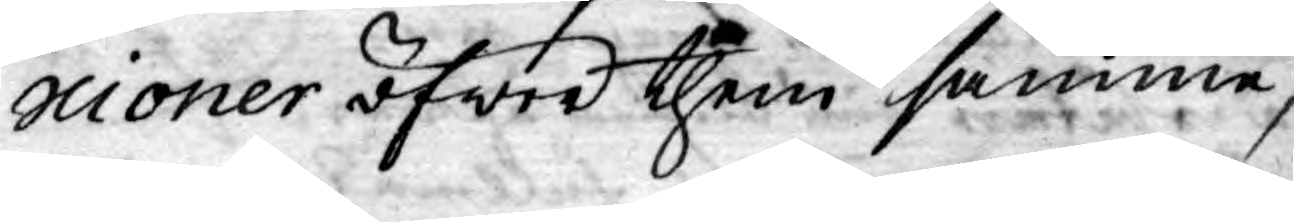scioner öfwer them samme,
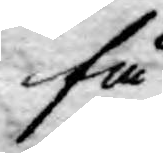få
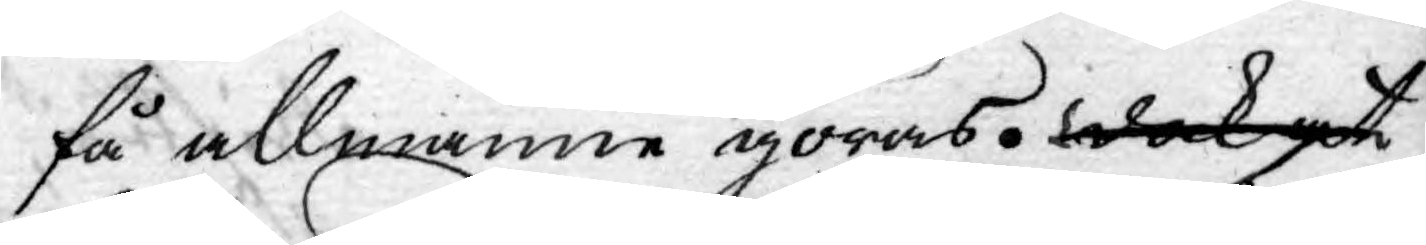få allmänne göras. dock at
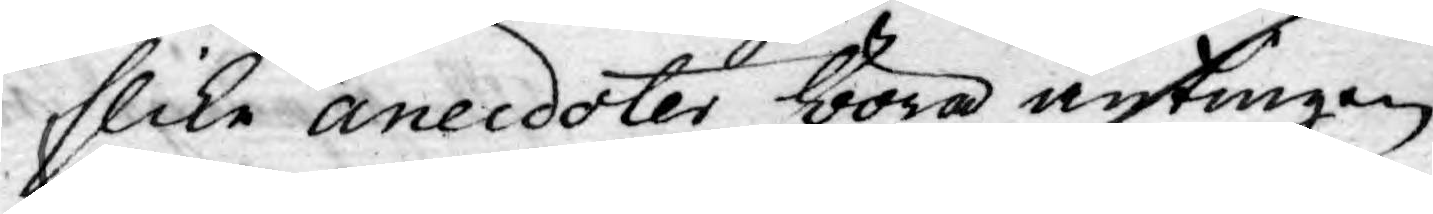slike ancedoter böra antingen
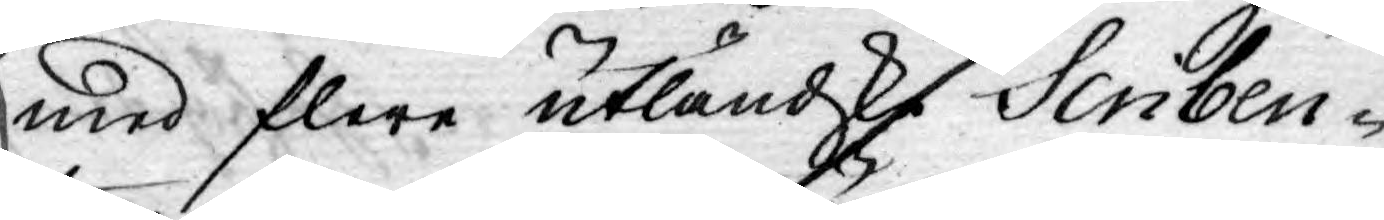med flere utländske Scriben¬
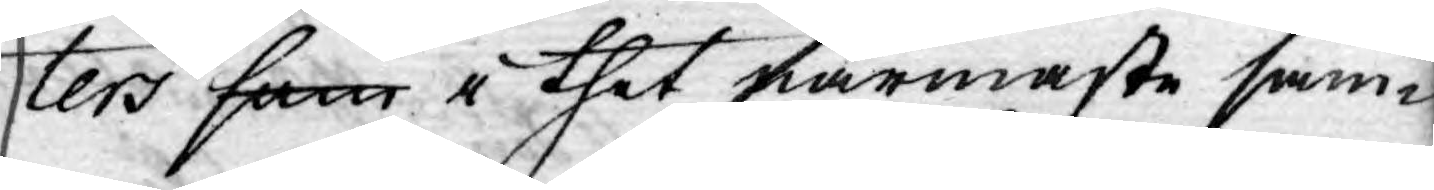ters som i thet närmaste sam¬
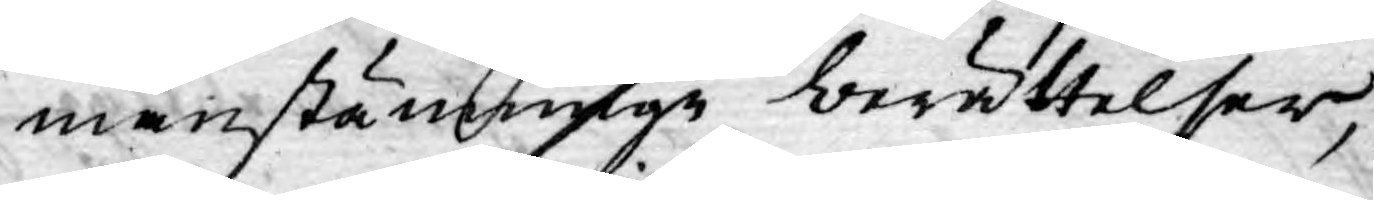manstämnige berättelser,
